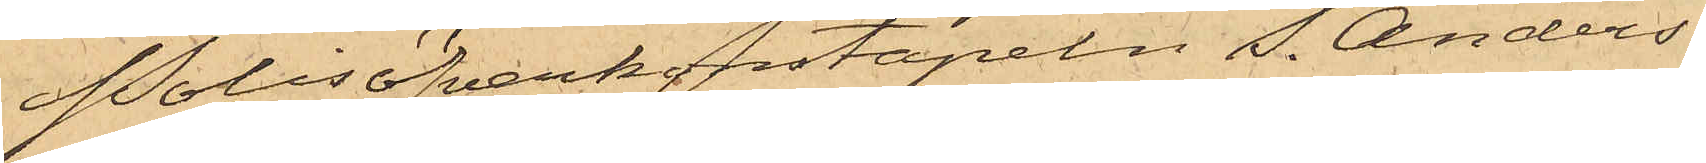Polisöfverkonstapeln S. Anders¬
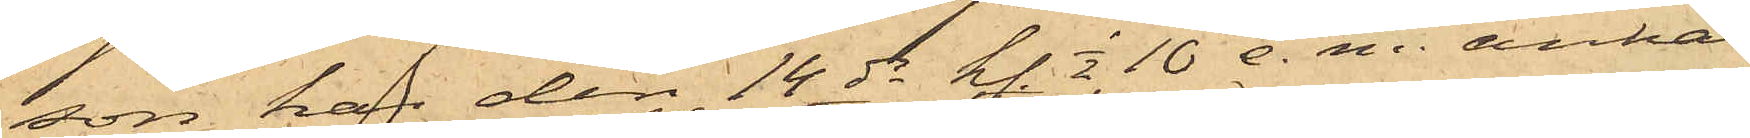son har den 14 ds kl. 1/2 10 e. m. anhål¬
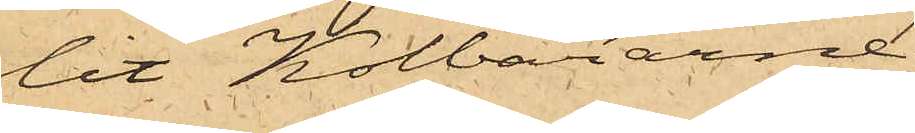lit Kolbärarne
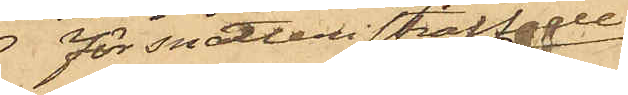för snatteri straffade
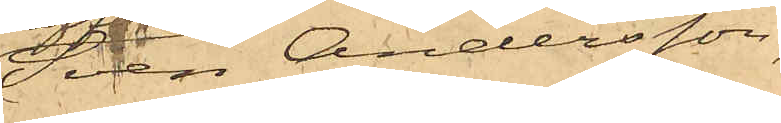Sven Andersson,
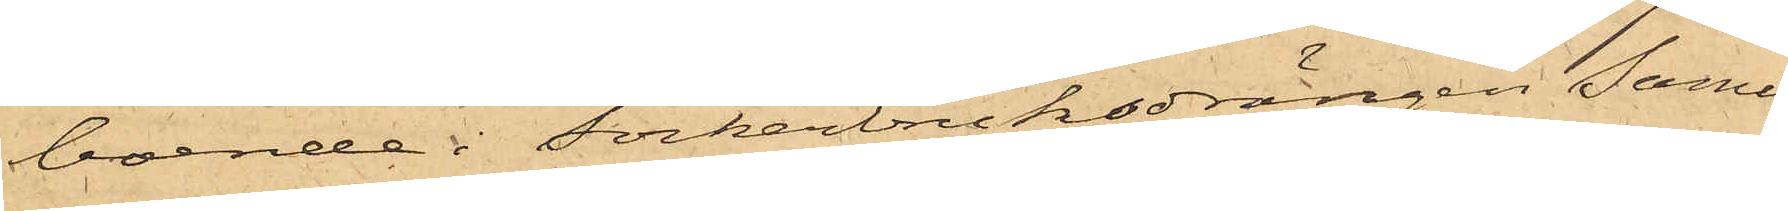boende i Sockerbruksdrängen Samu¬
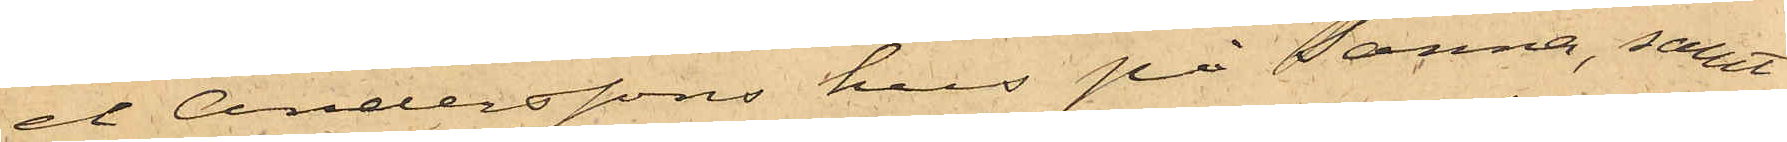el Anderssons hus på Sanna, samt
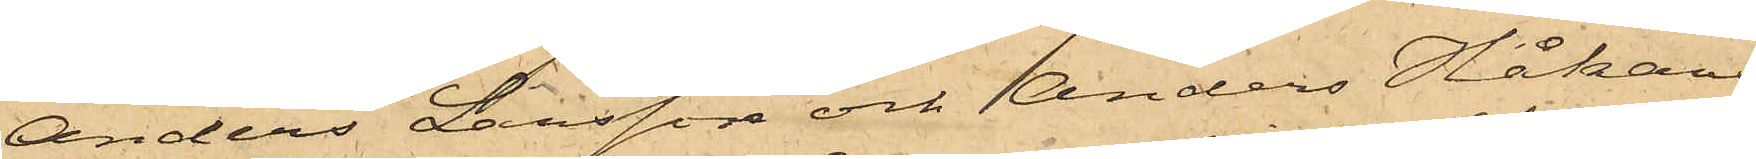Anders Larsson och Anders Håkans¬
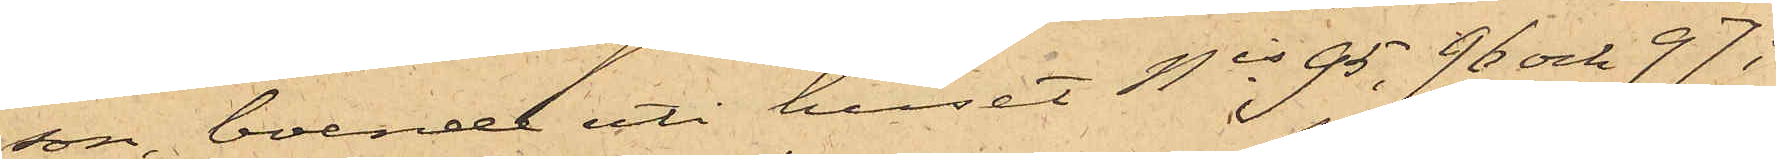son, boende uti huset Nis 95, 96 och 97 i
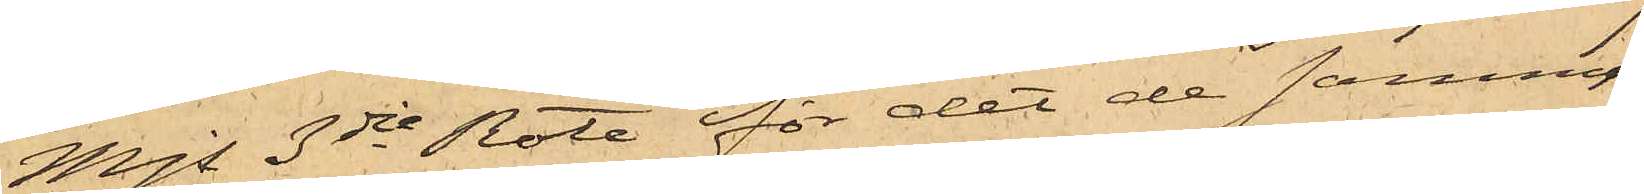Mjs 3dje Rote för det de samma
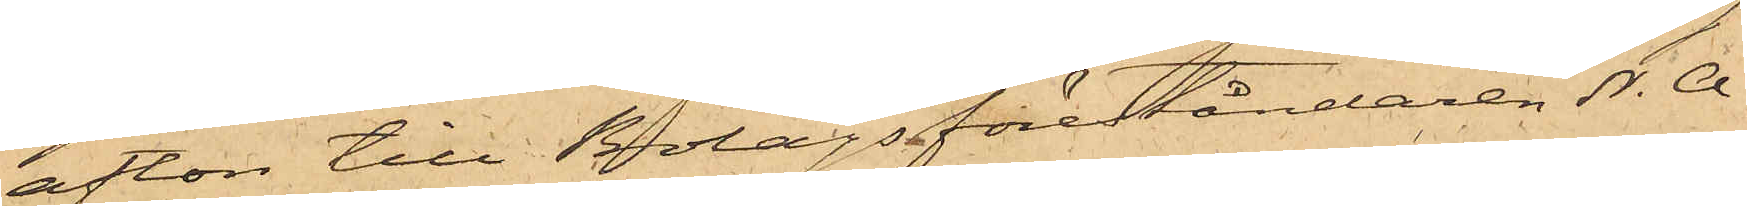afton till Bolagsföreståndaren N. A.
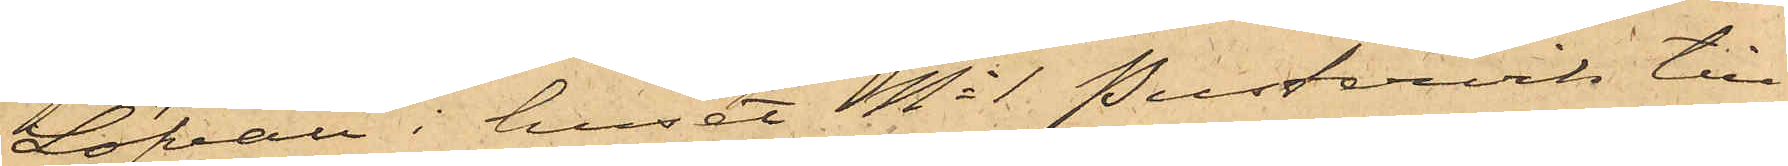Löfvall i huset No 1 Pustervik till
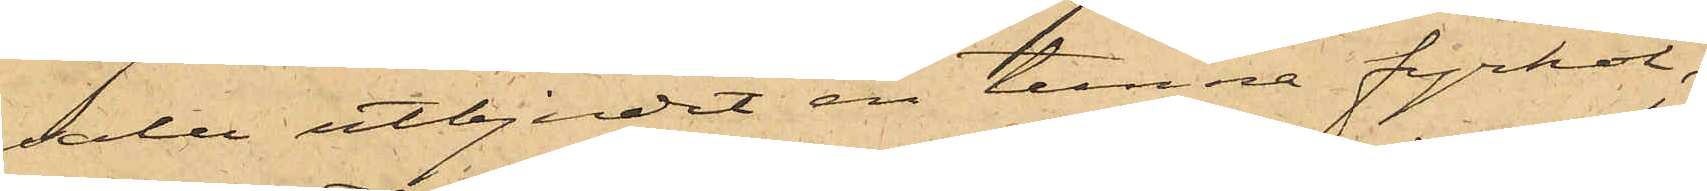salu utbjudit en tunna fyrkol,
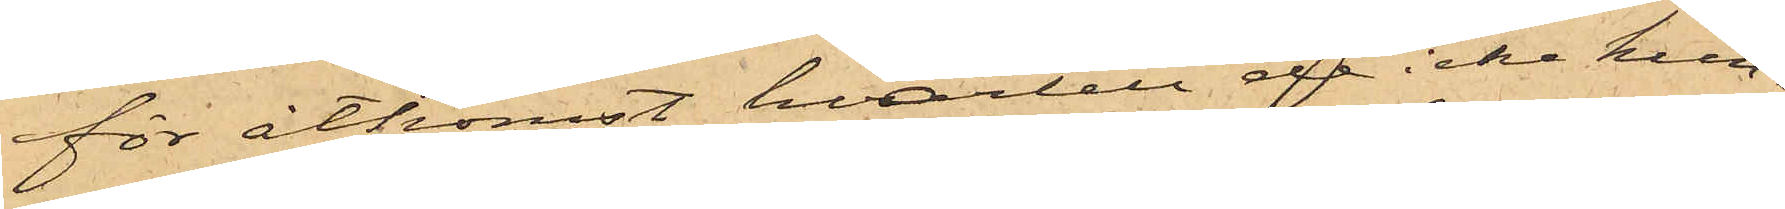för åtkomst hvartill de icke kun¬
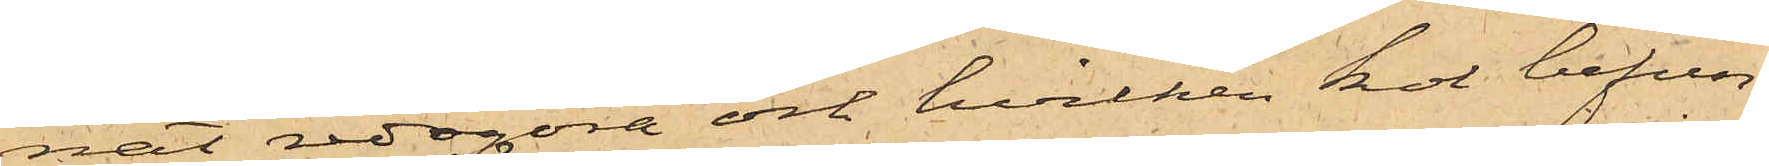nat redogöra och hvilken kol befun¬
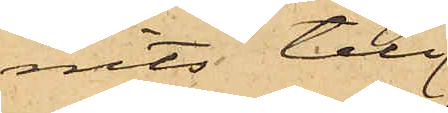nits till¬
